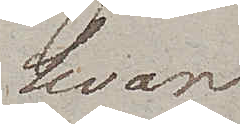hvar
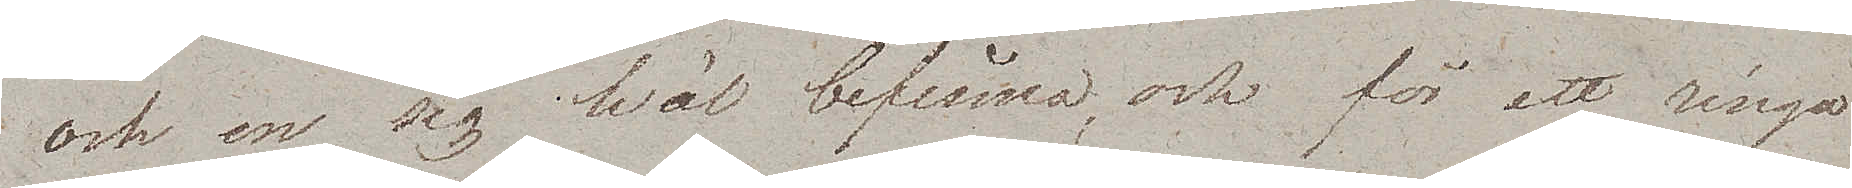och en sig wäl befinna, och för ett ringa
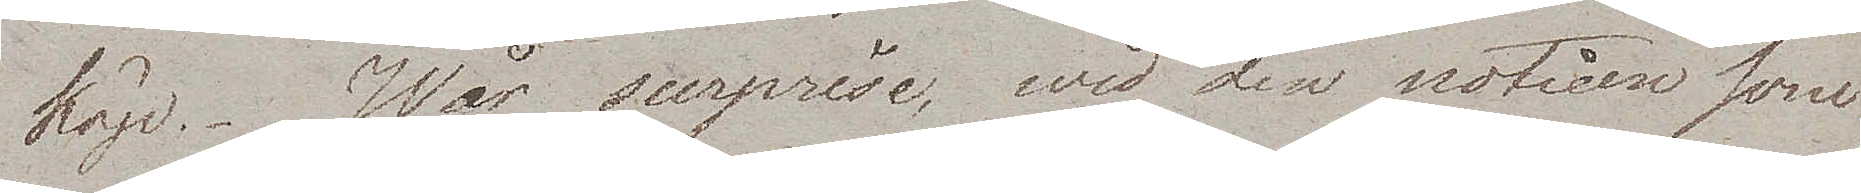köp. Wår surprise, wid den noticen som
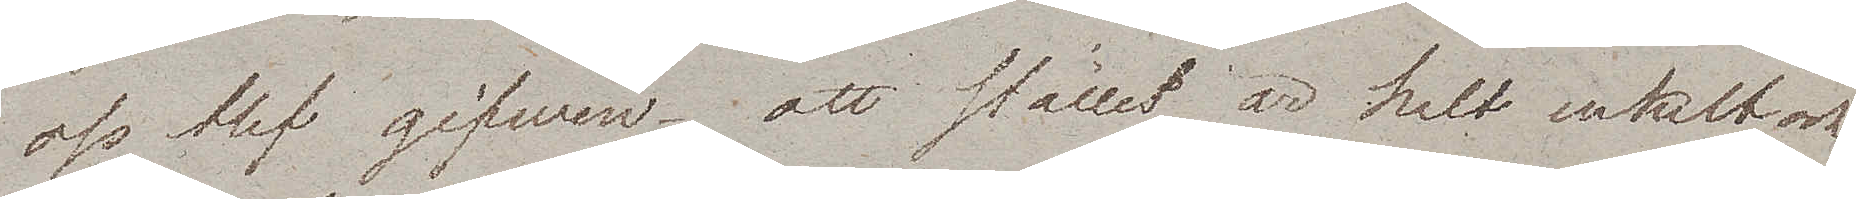oss blef gifwen – att stället är helt enkelt och
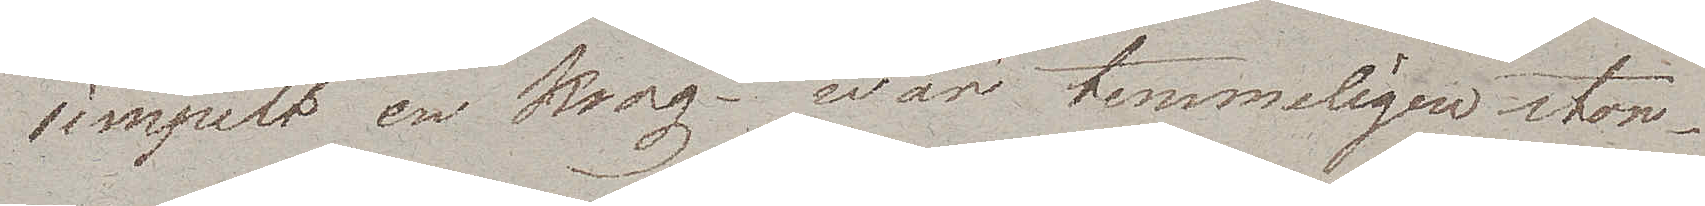simpelt en krog – war temmeligen stor.
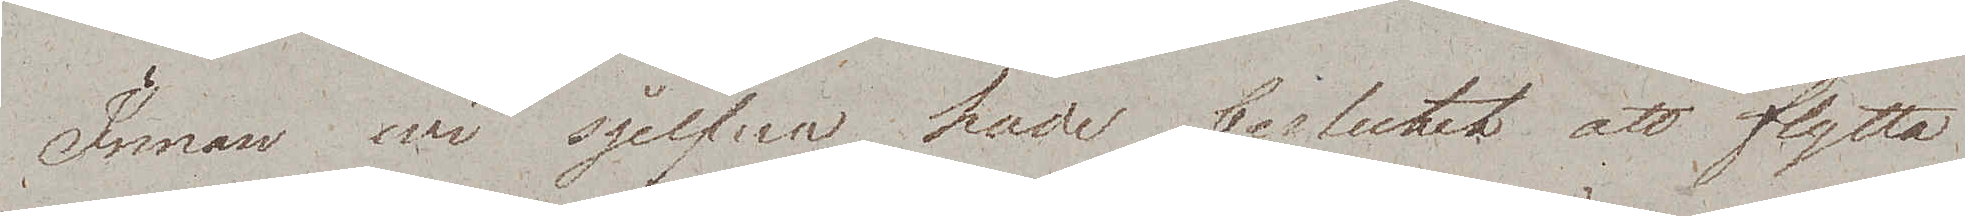Innan wi sjelfva hade beslutat att flytta
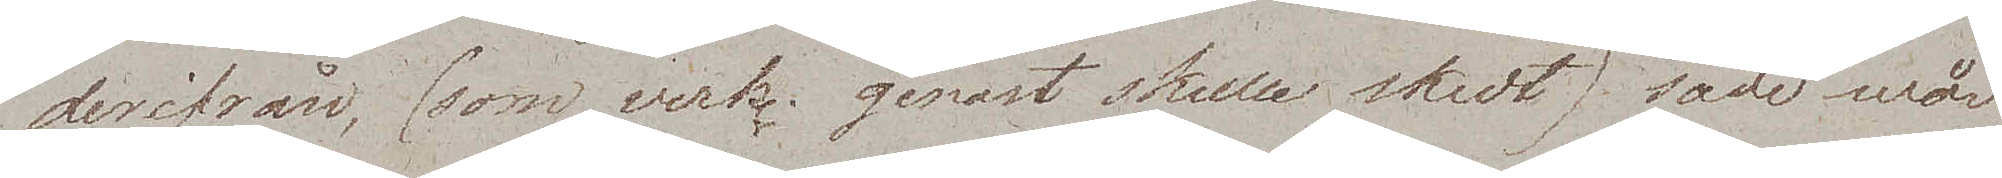derifrån, (som verkl. genast skulle skedt) sade wår
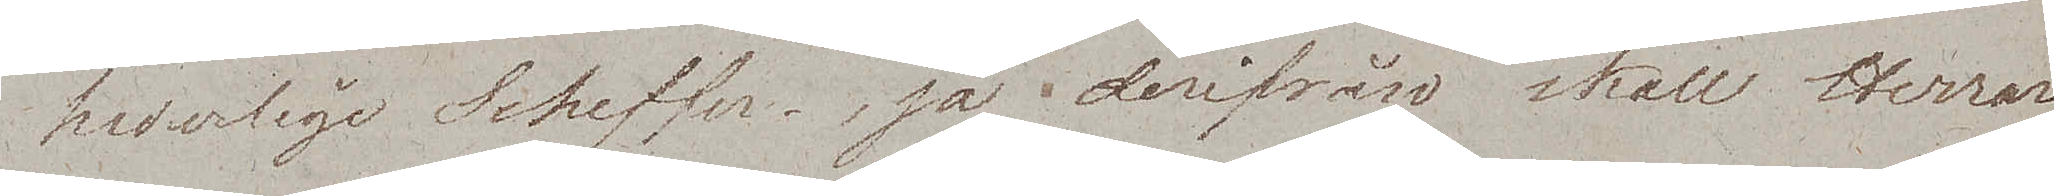hederlige Scheffer så "derifrån skall Herrar¬
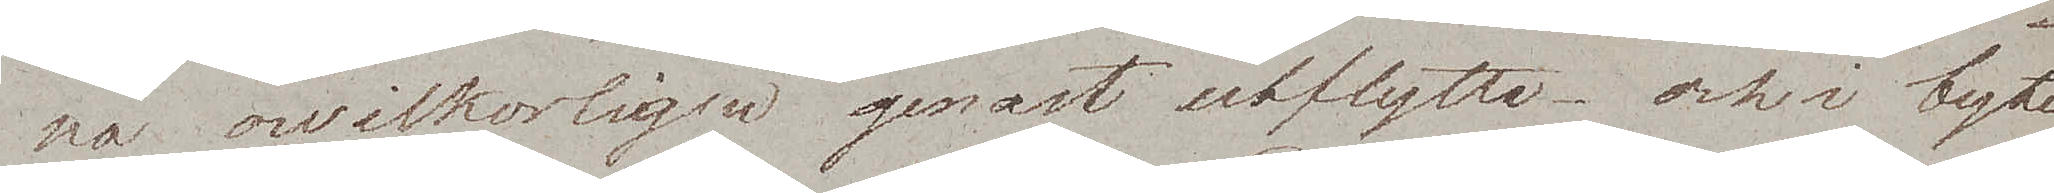na owilkorligen genast utflytta – och i byte
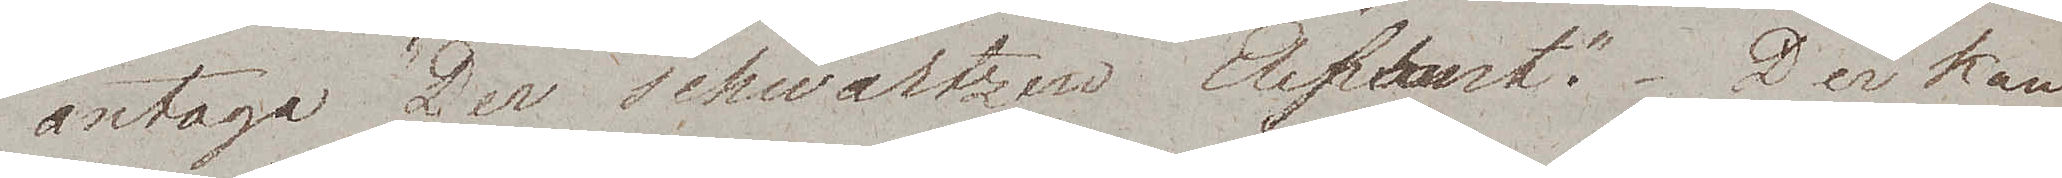antaga "Der schwartzen Elephant". Der kan
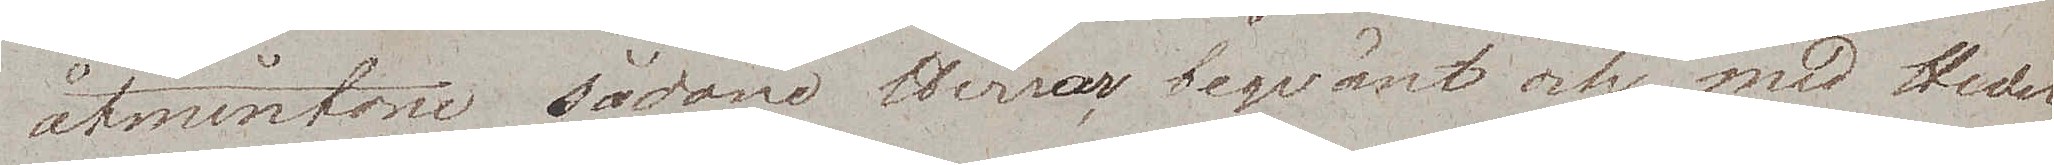åtminstone sådane Herrar beqvämt och med Heder
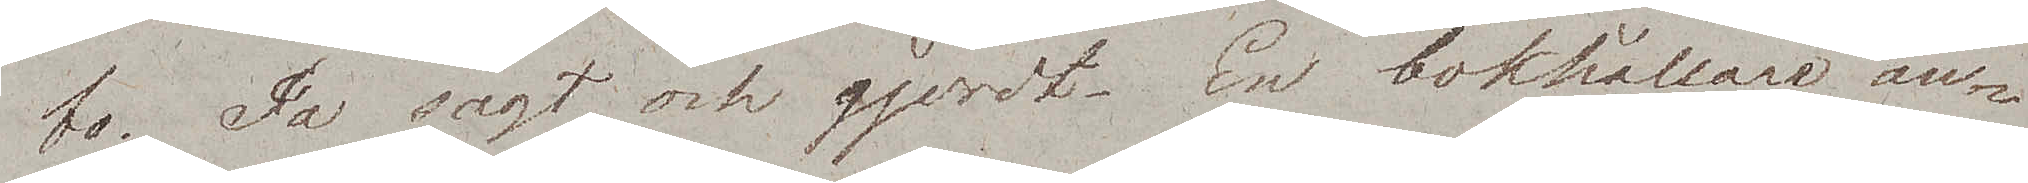bo. Ja sagt och gjordt. En bokhållare an¬
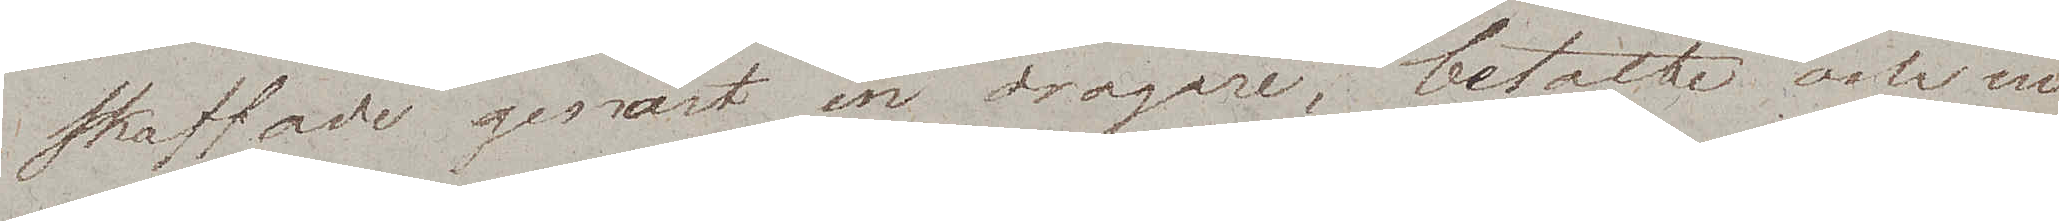skaffade genast en dragare, betalte och nu
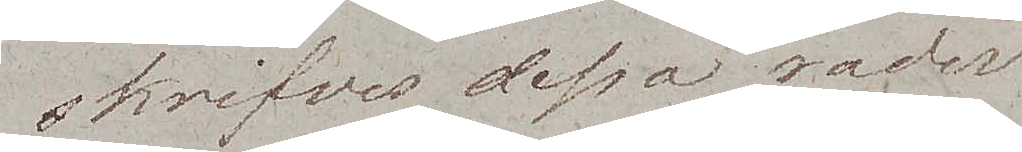skrifves dessa rader
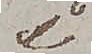i
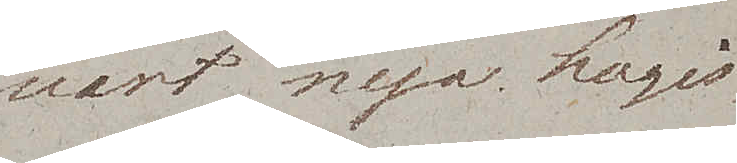wårt nya Logis
